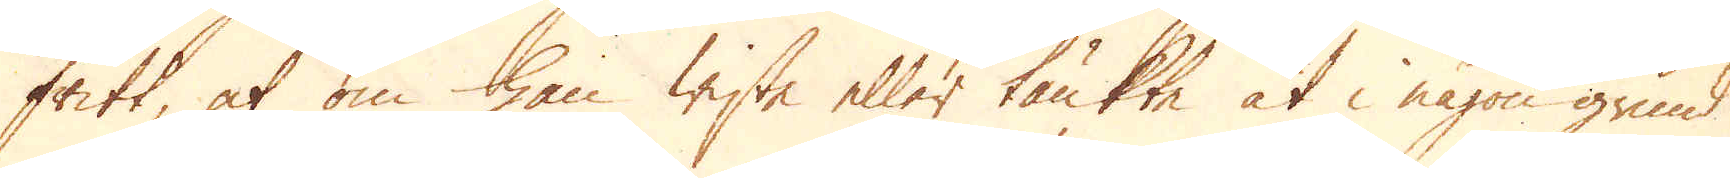fritt, at om han wiste eller tänkte at i någon grund
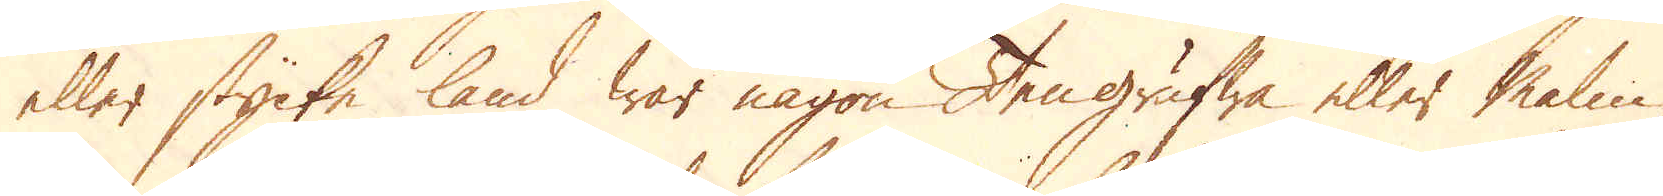eller stycke land war någon Tengrufwa eller Malm,
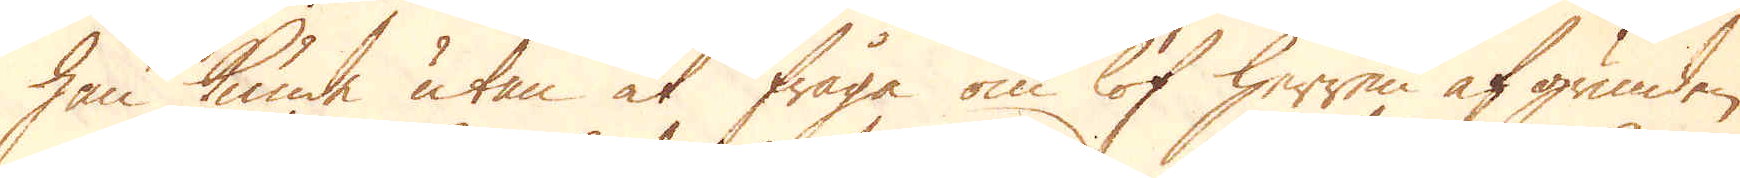han kunde utan at fråga om lof herren af grunden,
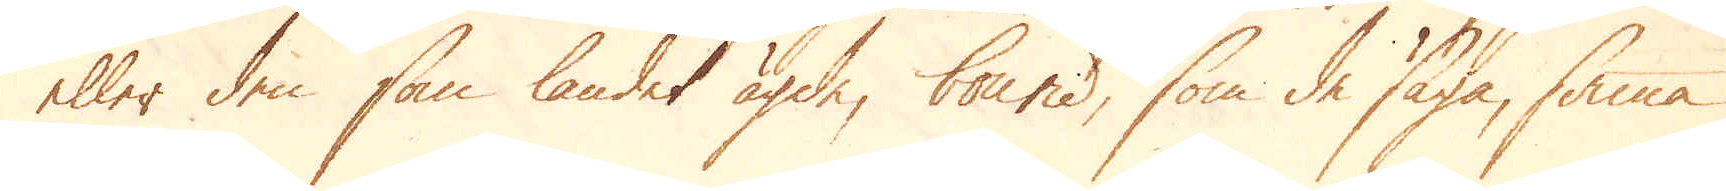eller den som landet ägde, bound, som de säga, sama
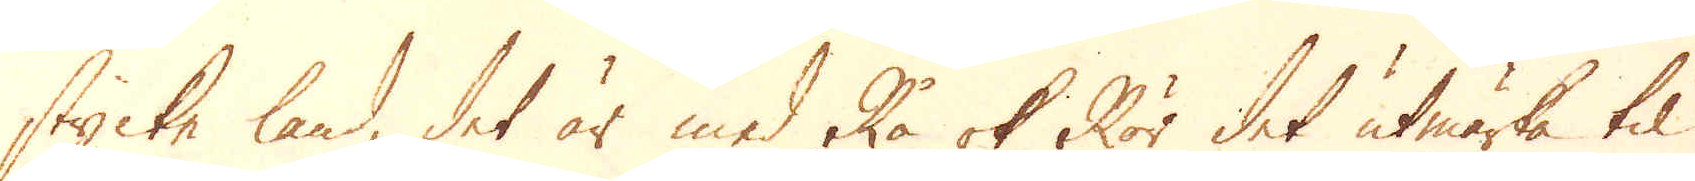stycke land, det är med Rå ok Rör det utmärka til
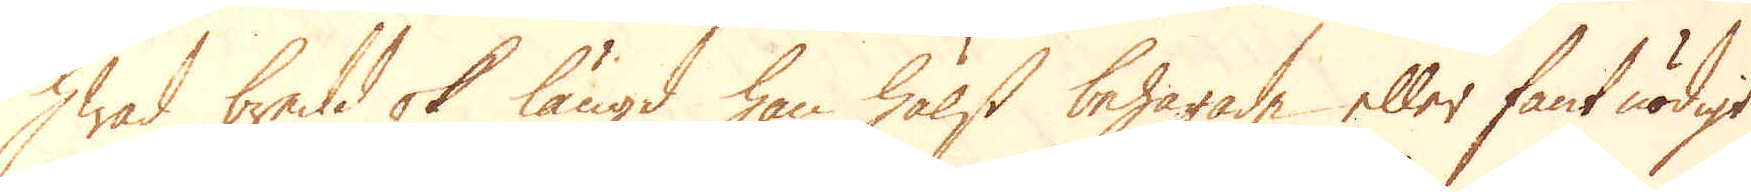hwad bredd ok längd han hälst behagade eller fant nödigt
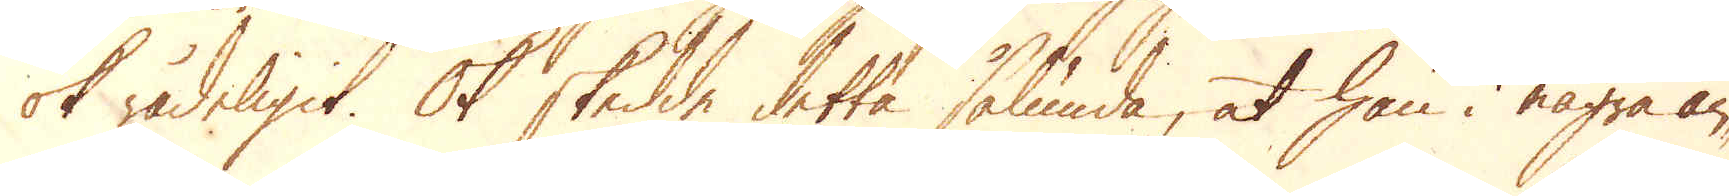ok rådeligit. Ok skedde detta sålunda, at han i några an-
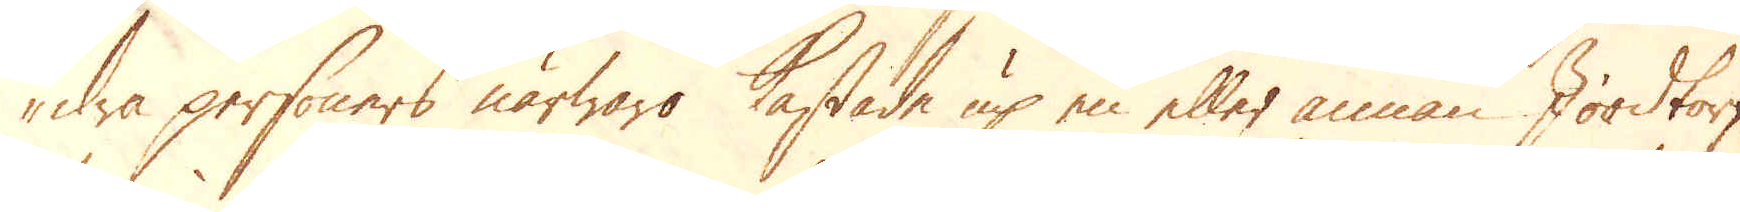dra personers närwaro kastade up en eller annan Jordtorf-
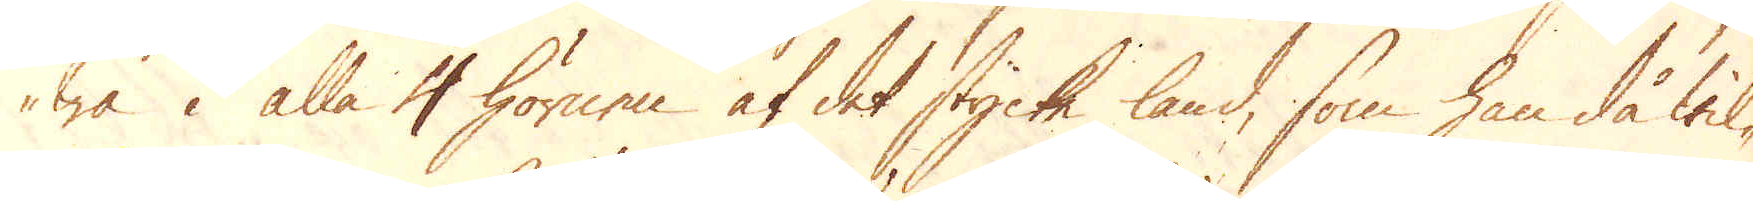wa i alla 4 hörnen af det stycke land, som han då wil-
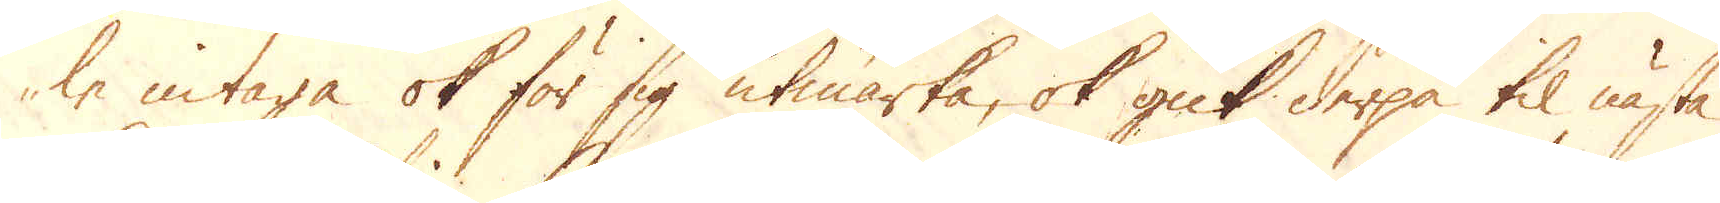le intaga ok för sig utmärka, ok gick derpå til nästa
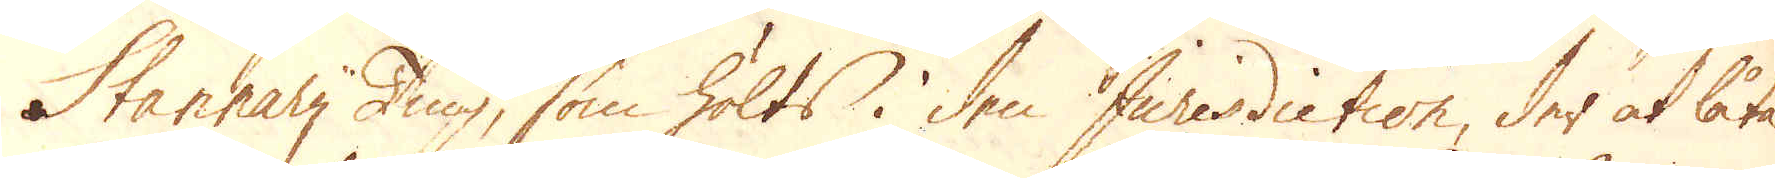Stannary Ting, som hölts i den Jurisdiction, der at låta
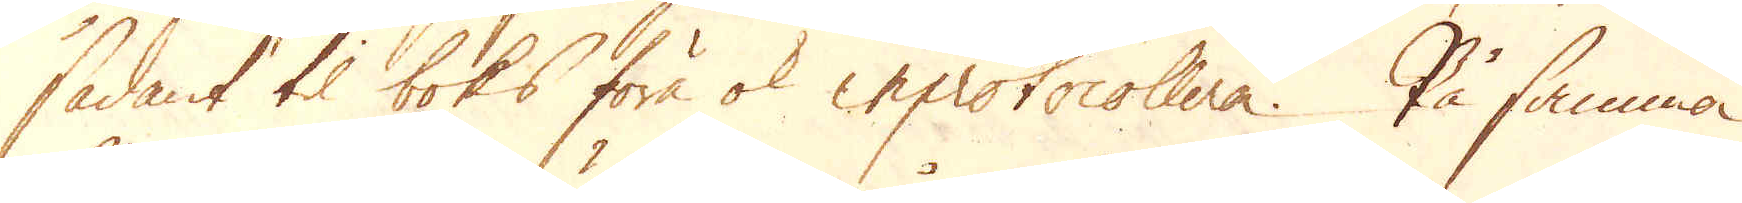sådant til boks föra ok inprotocollera. På samma
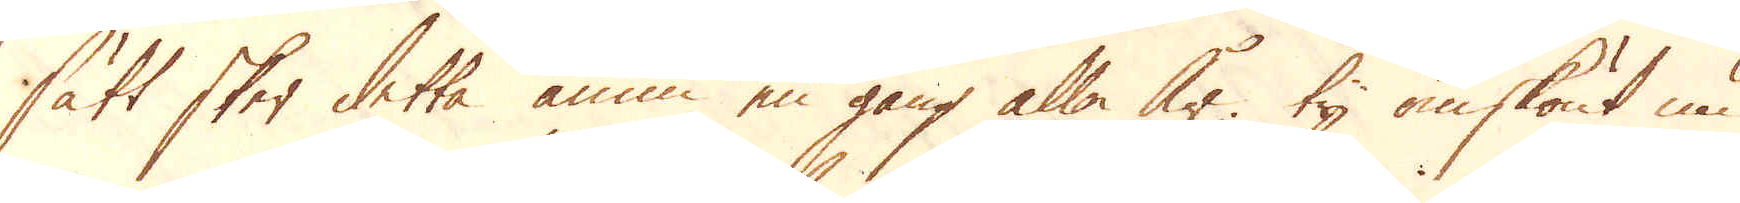sätt sker detta ännu en gång alla år; ty omskönt nu
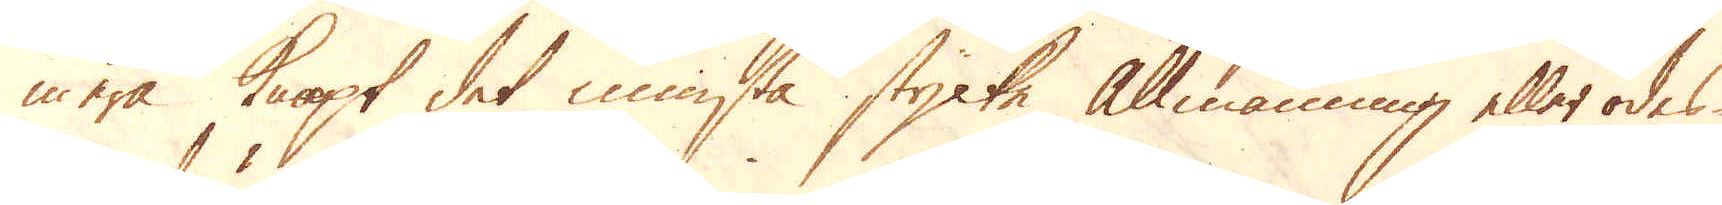mera knapt det minsta stycke allmänning eller ödes-
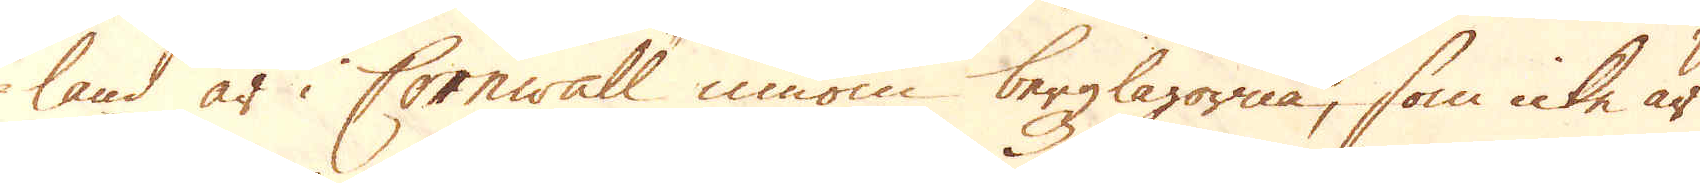land är i Cornwall innom bergzlagorna, som icke är
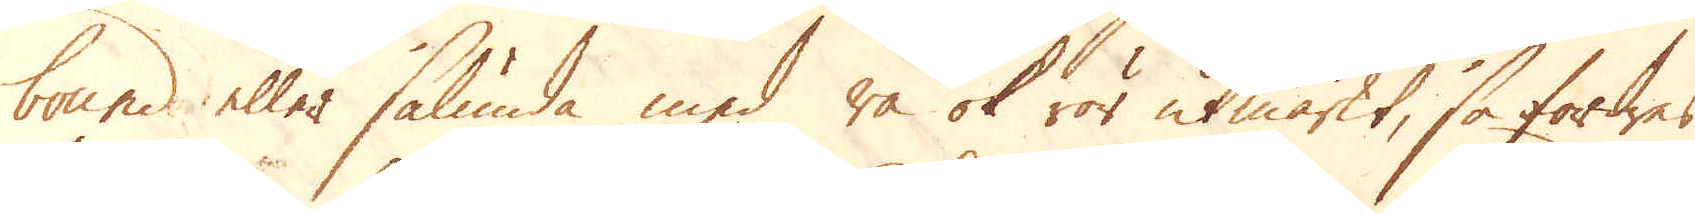bound eller sålunda med rå ok rör utmärkt, så fordres
